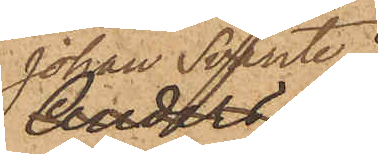Johan Svante
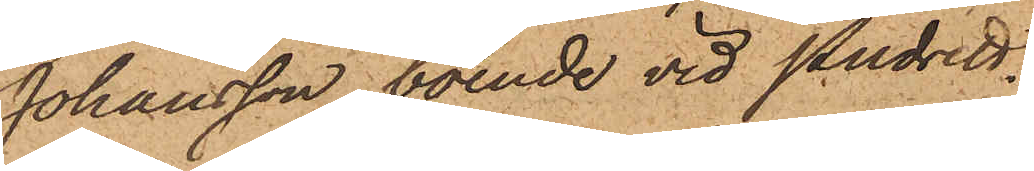Johansson, boende vid Pudrett¬
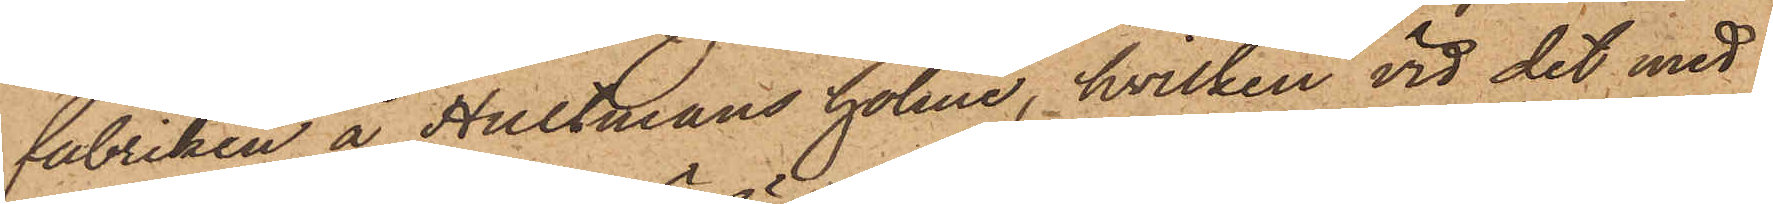fabriken å Hultmans holme, hvilken vid det med
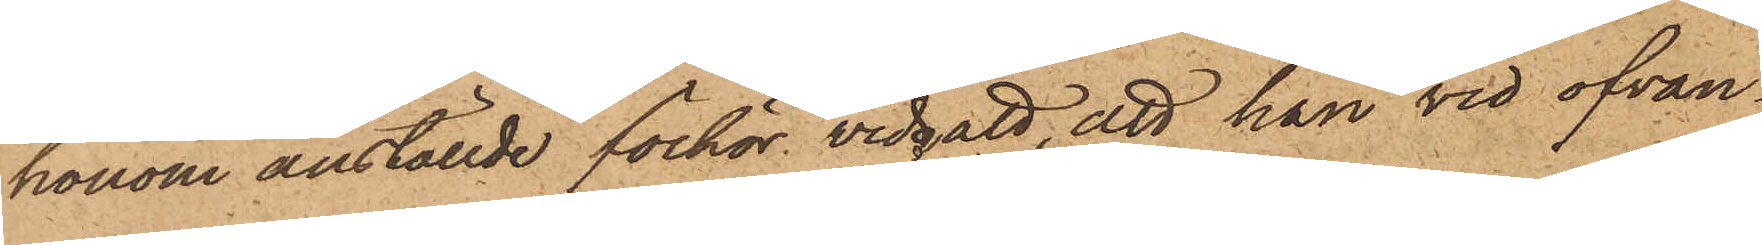honom anställde förhör vidgått, att han vid ofvan¬
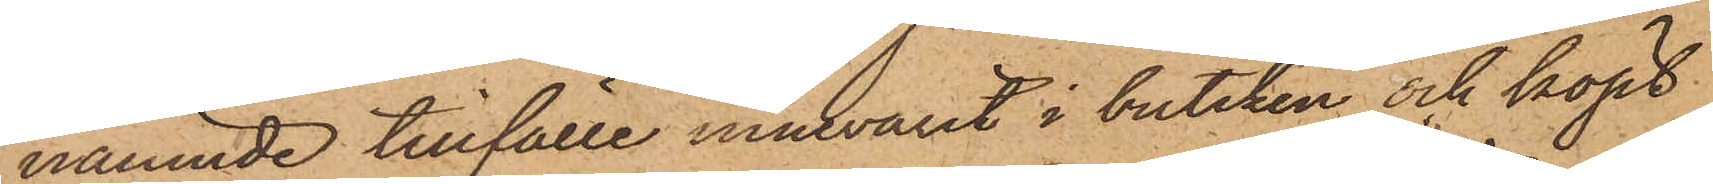nämnde tillfälle innevarit i butiken och köpt
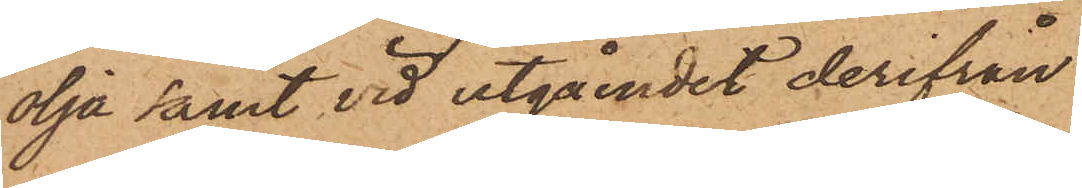olja samt vid utgåendet derifrån
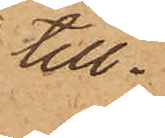till¬
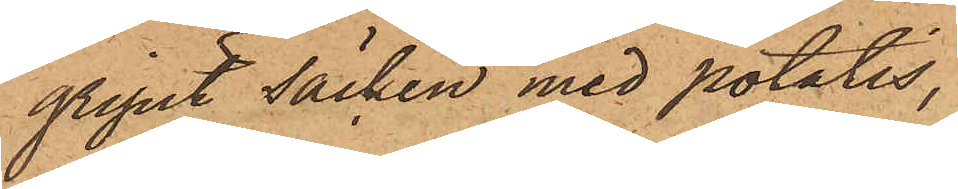gripit säcken med potatis,
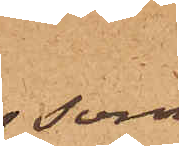 som
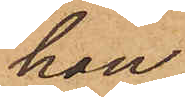han
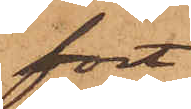fört
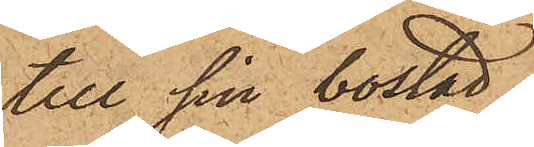till sin bostad;
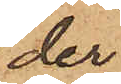der
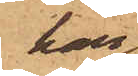han
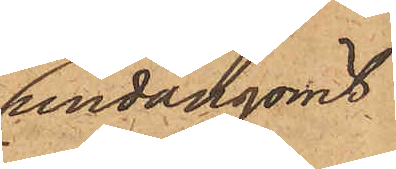undangömt
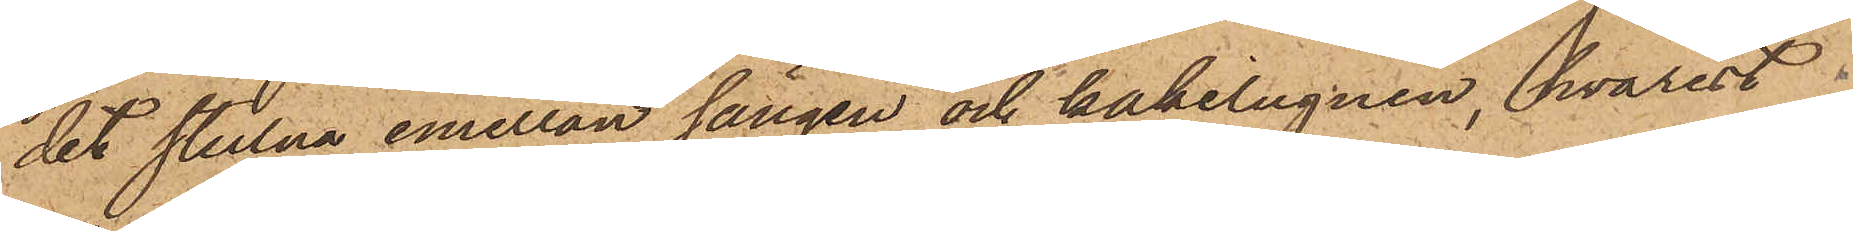det stulna emellan sängen och kakelugnen, hvarest
